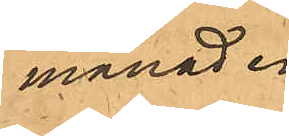månad.
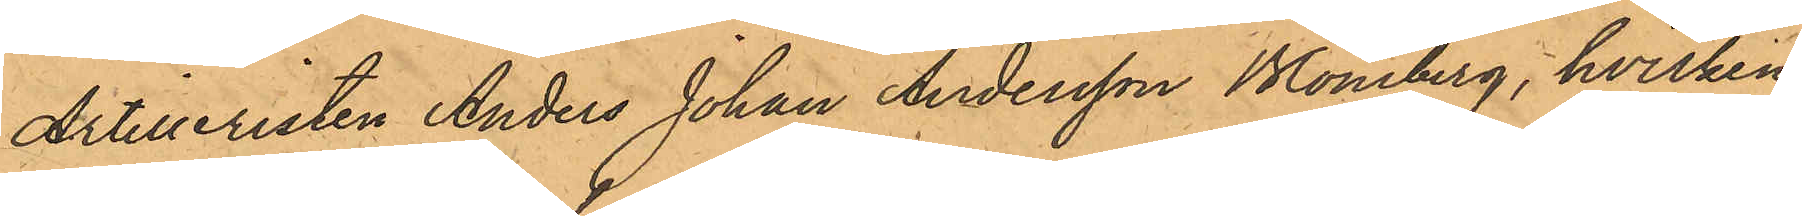Artilleristen Anders Johan Andersson Blomberg, hvilken
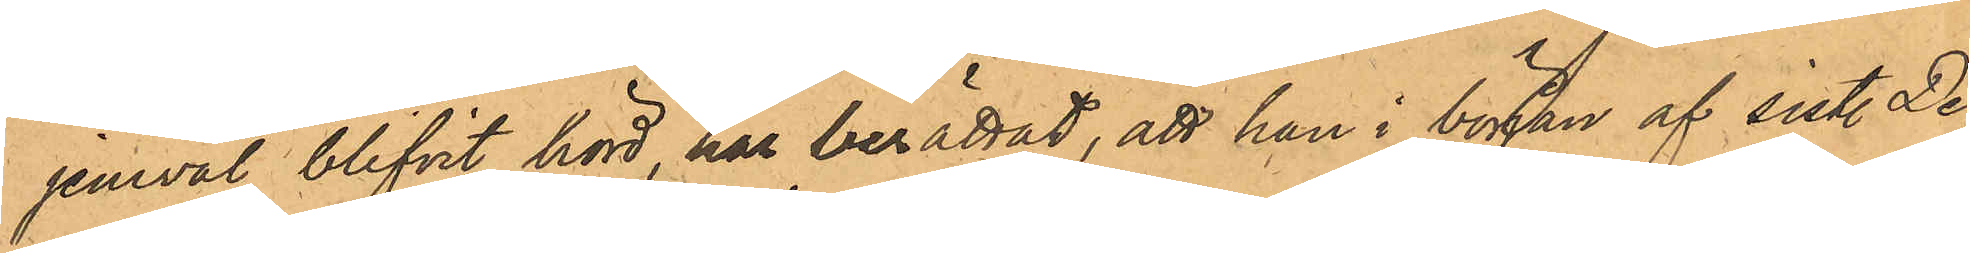jemväl blifvit hörd, har berättat, att han i början af sist. De¬
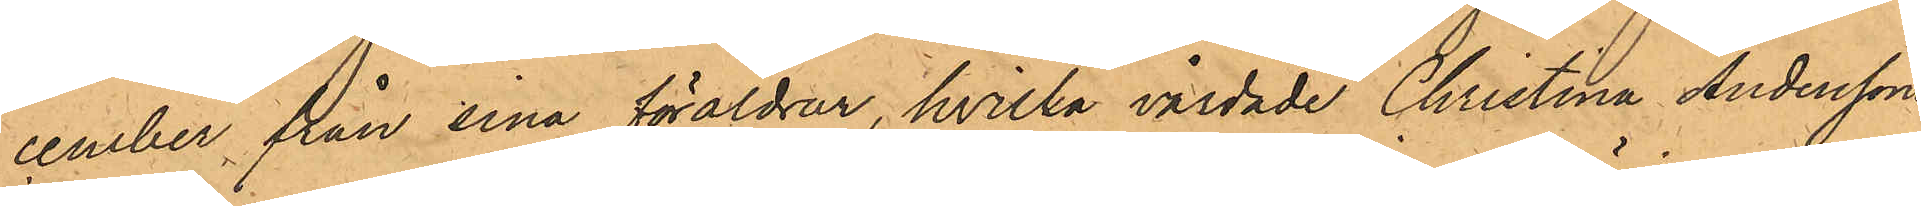cember, från sina föräldrar, hvilka vårdade Christina Anderssons
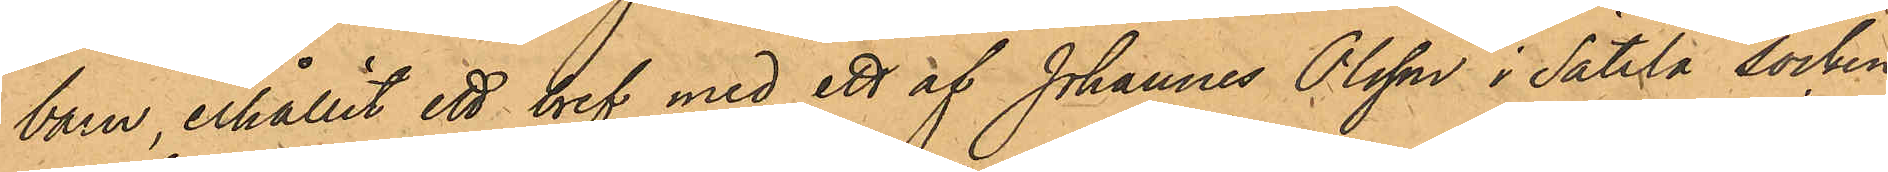barn, erhållit ett bref med ett af Johannes Olsson i Sätila socken
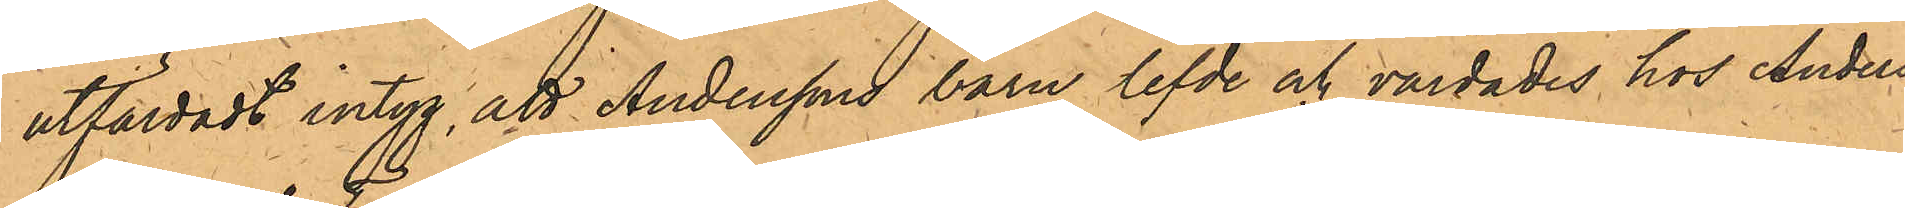utfärdadt intyg, att Anderssons barn lefde och vårdades hos Anders
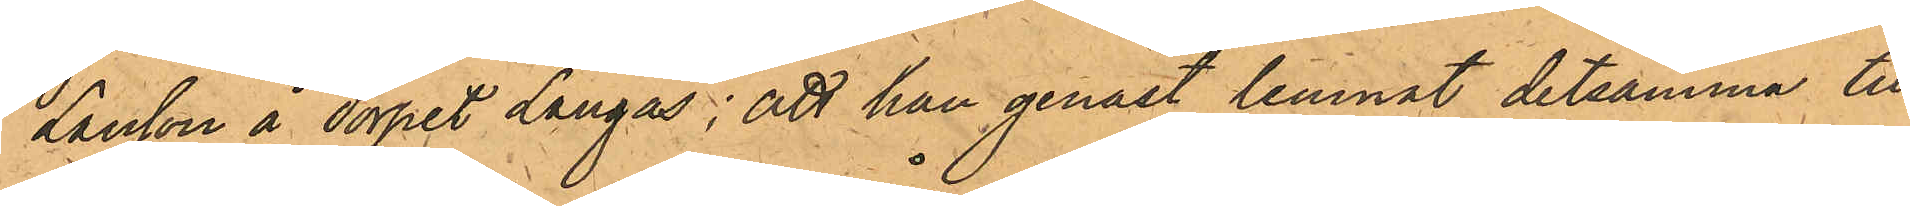Larsson å Torpet Långås; att han genast lemnat detsamma till
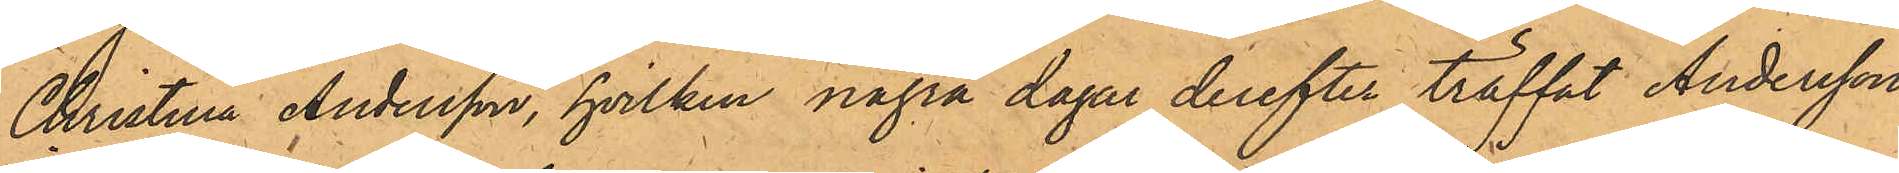Christina Andersson, hvilken några dagar derefter träffat Andersson
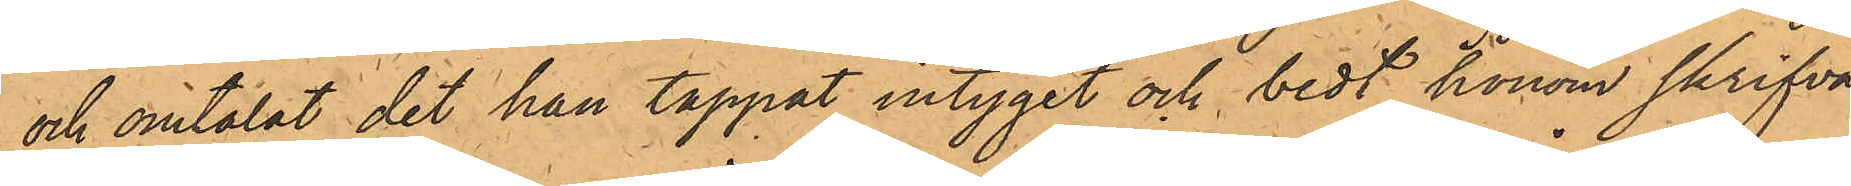och omtalat det han tappat intyget och bedt honom skrifva
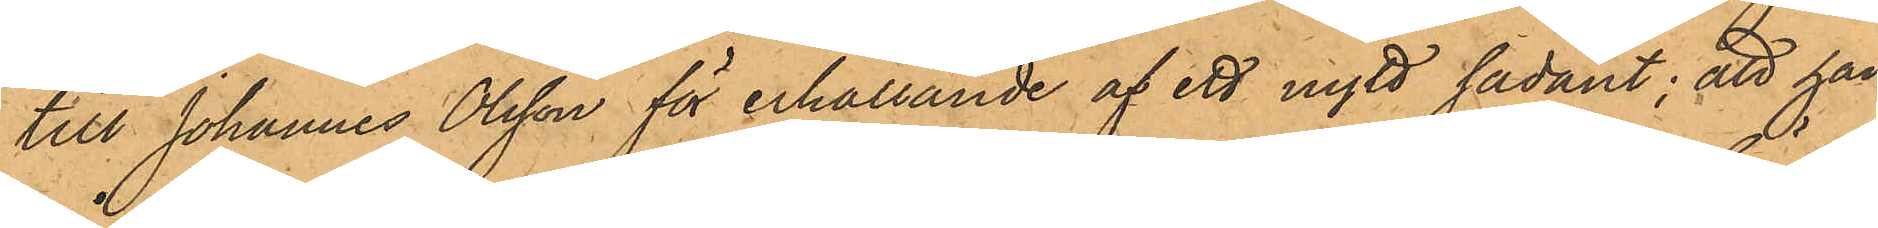till Johannes Olsson för erhållande af ett nytt sådant; att han
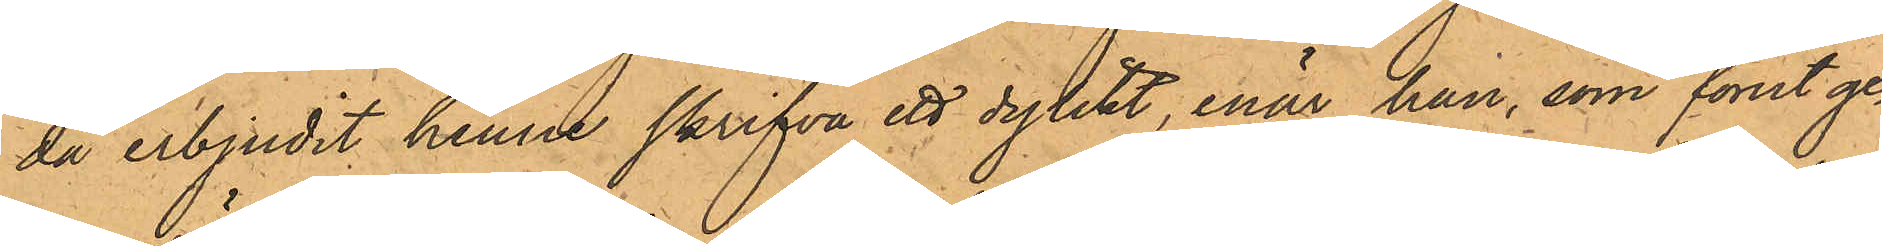då erbjudit henne skrifva ett dylikt, enär han, som förut ge¬
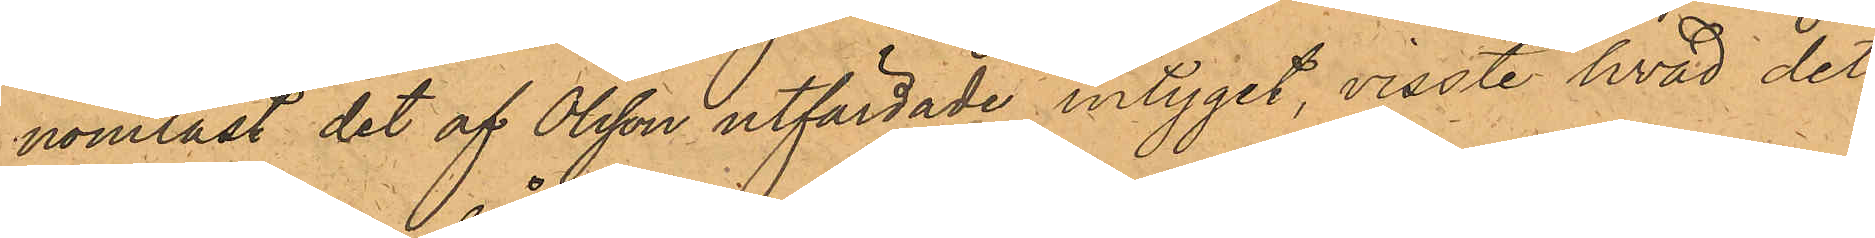nomläst det af Olsson utfärdade intyget, visste hvad det¬
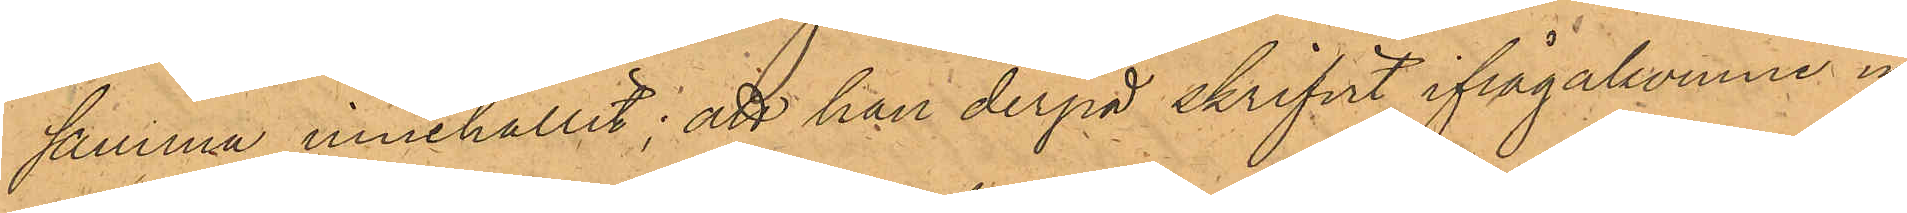samma innehållit; att han derpå skrifvit ifrågakomne in¬
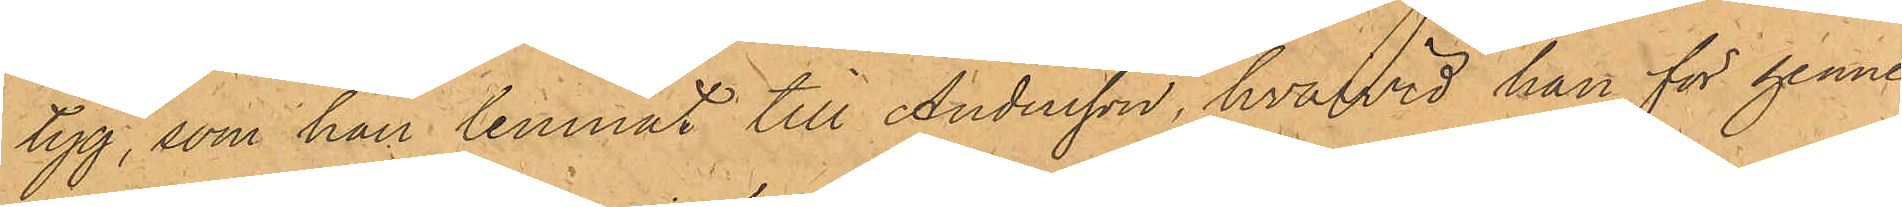tyg, som han lemnat till Andersson, hvarvid han för henne
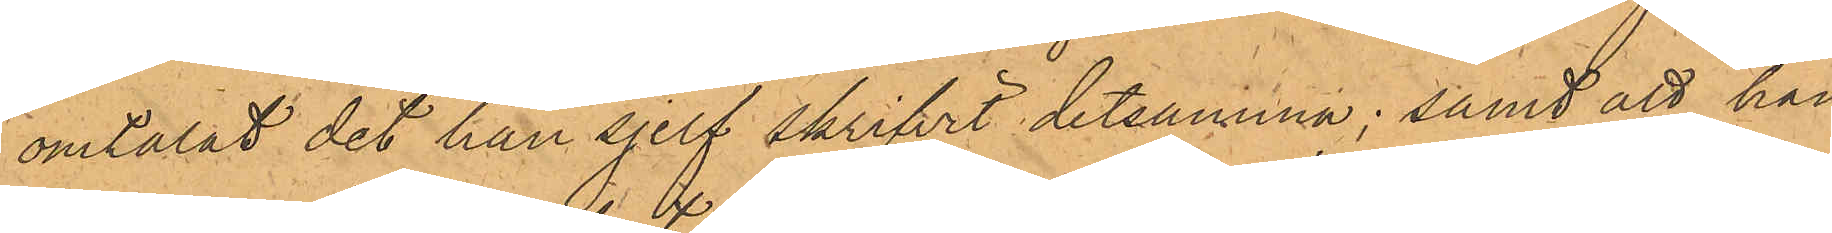omtalat det han sjelf skrifvit detsamma; samt att han
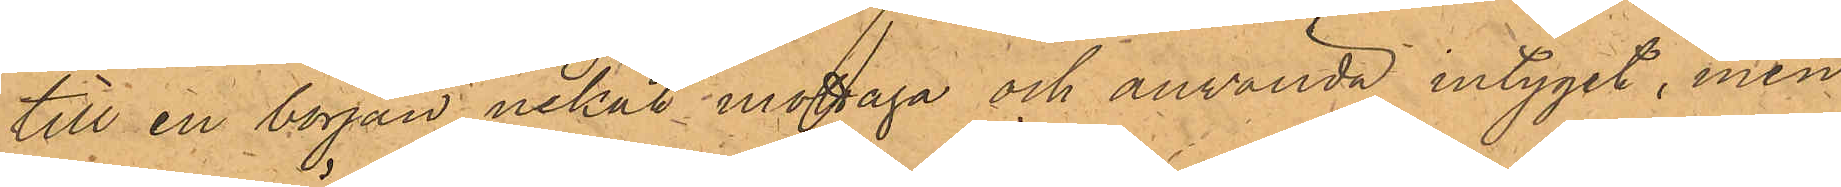till en början nekat mottaga och använda intyget, men
